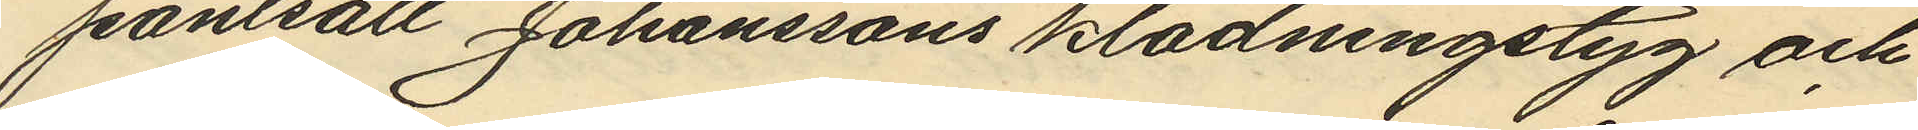pantsatt Johanssons klädningstyg och
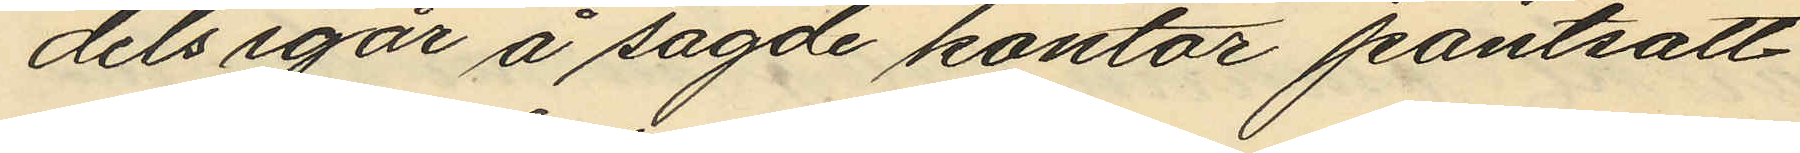dels igår å sagde kontor pantsatt
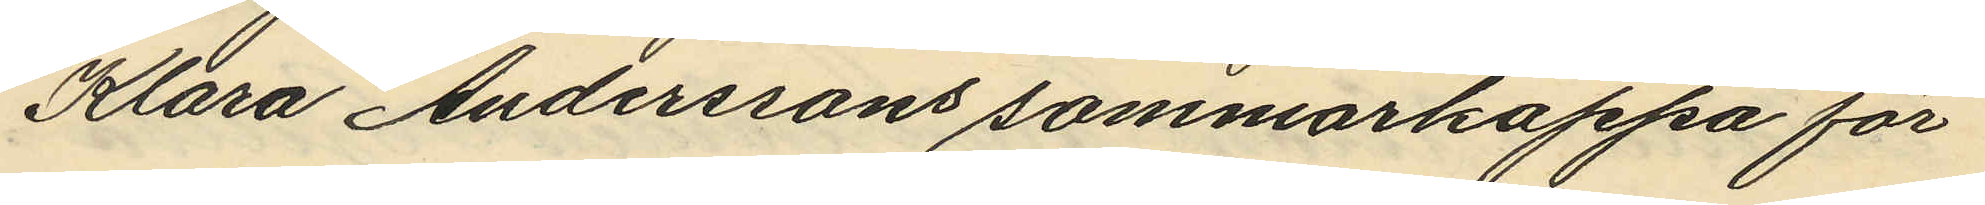Klara Anderssons sommarkappa för
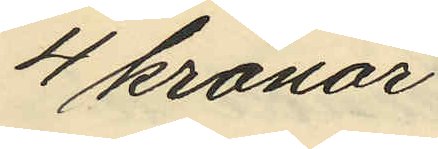4 kronor.
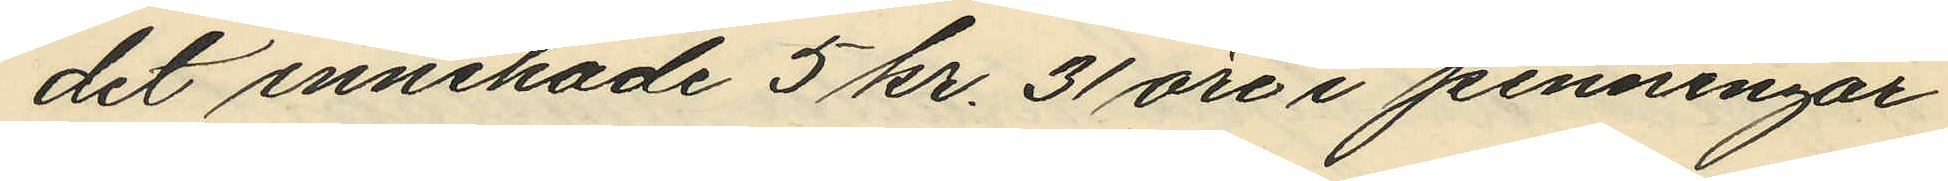det innehade 5 kr. 31 öre i penningar
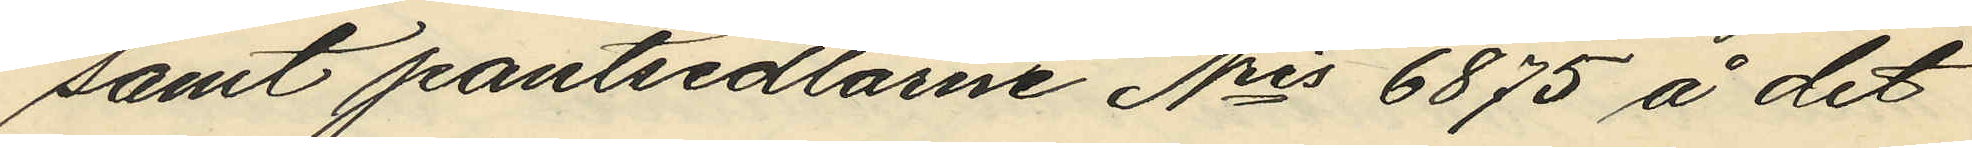samt pantsedlarne Nris 6875 å det
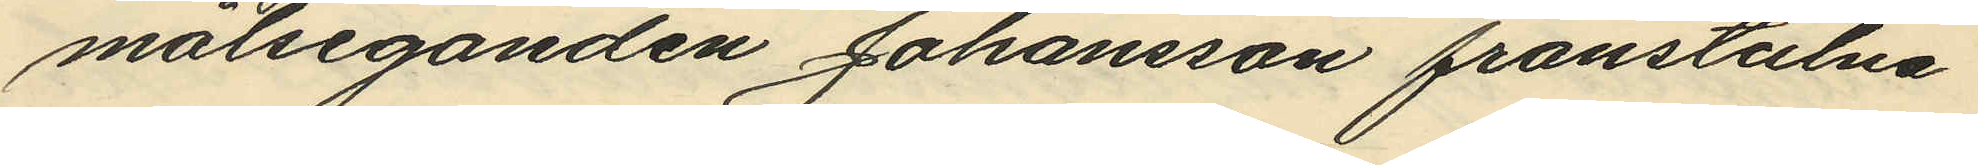målseganden Johansson frånstulna
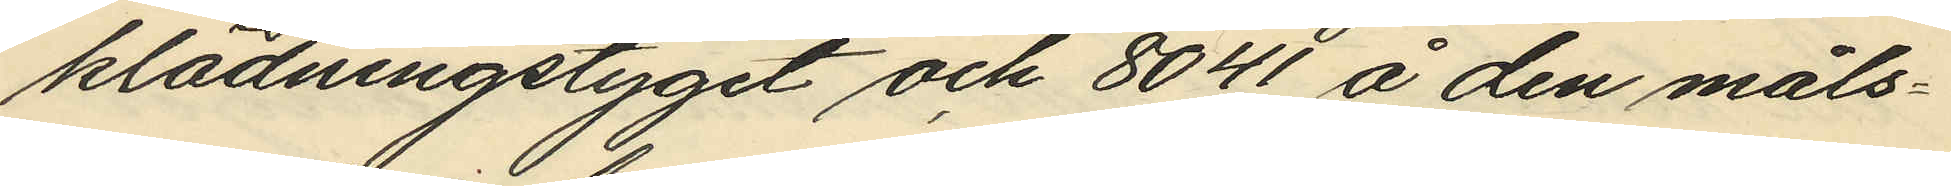klädningstyget och 8041 å den måls¬
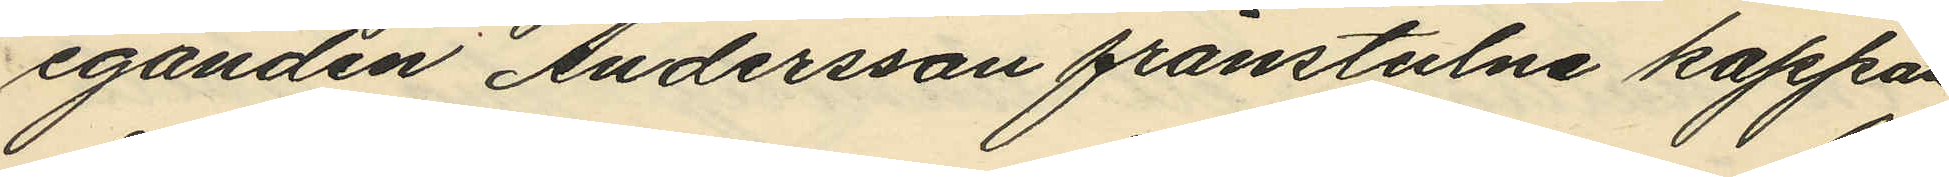eganden Andersson frånstulna kappan
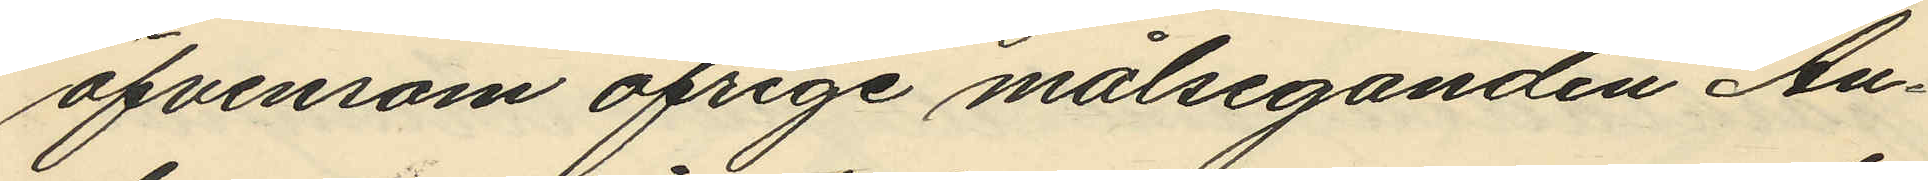äfvensom öfrige målseganden An¬
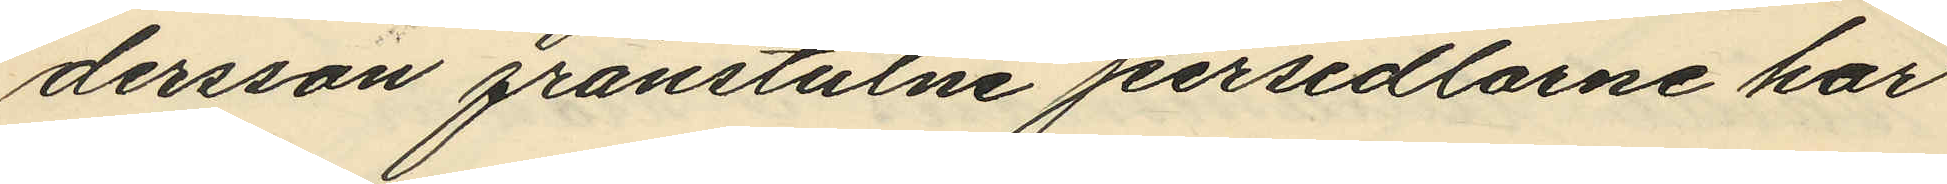dersson frånstulne persedlarne har
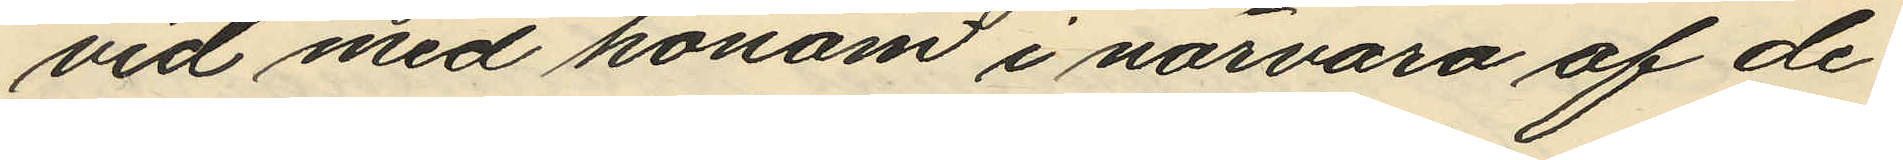vid med honom i närvaro af de¬
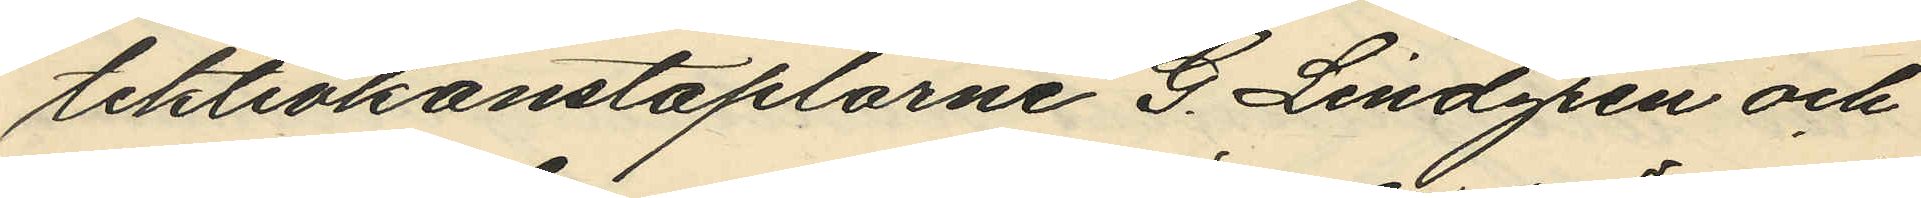tektivkonstaplarne G. Lindgren och
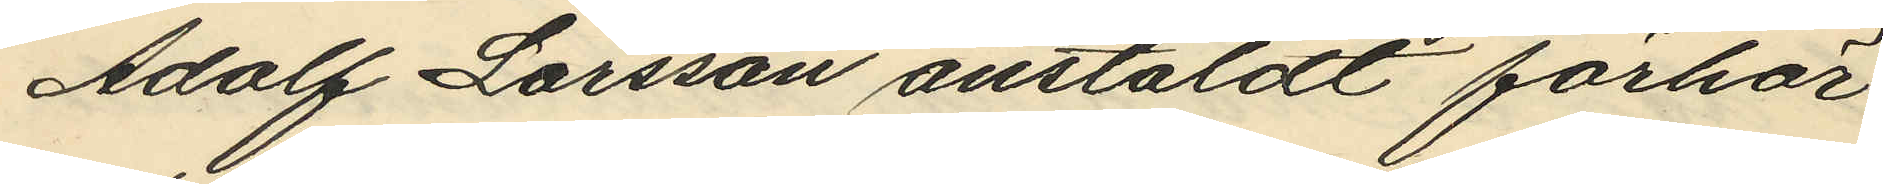Adolf Larsson anstäldt förhör
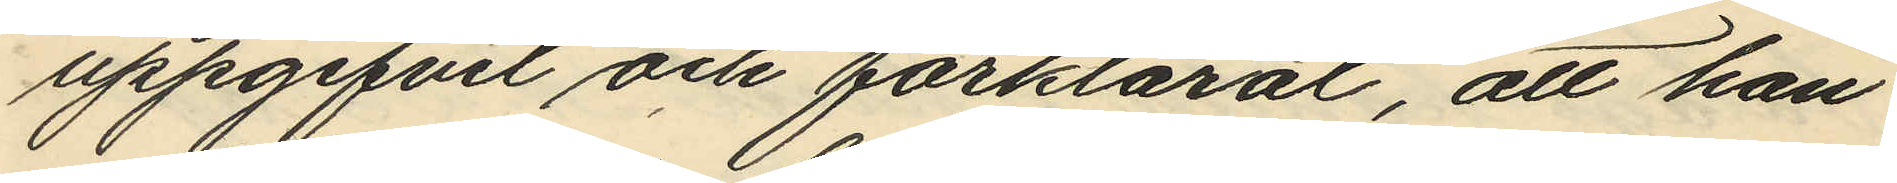uppgifvit och förklarat, att han
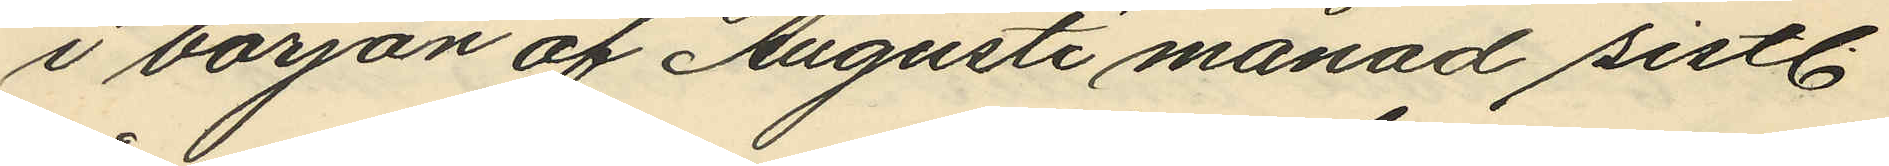i början af Augusti månad sistl
